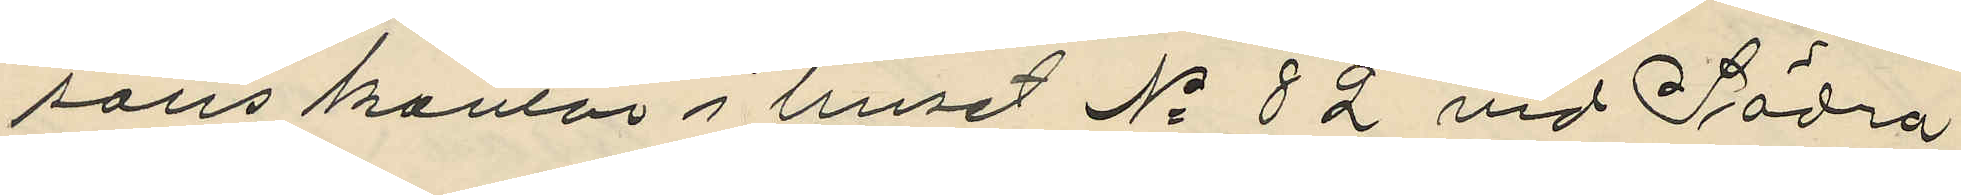sons kontor i huset No 82 vid Södra
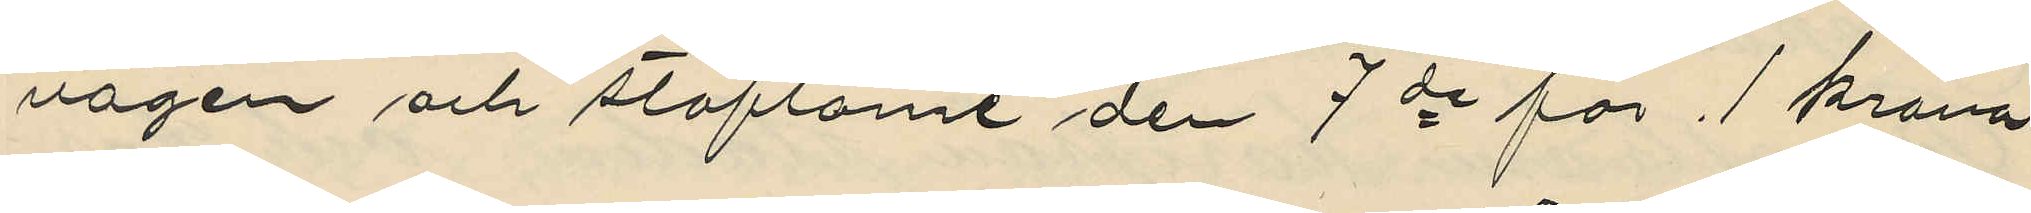vägen och stöflarne den 7de för 1 krona
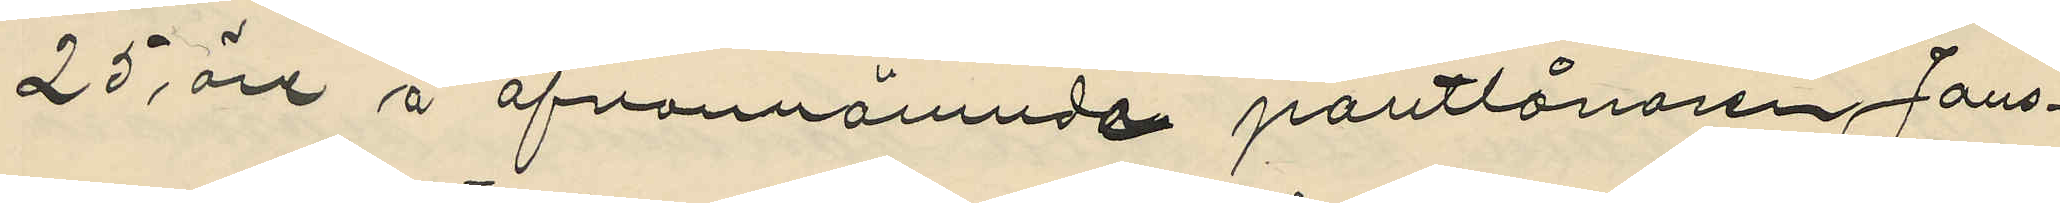25 öre å ofvannämnde pantlånaren Jans¬
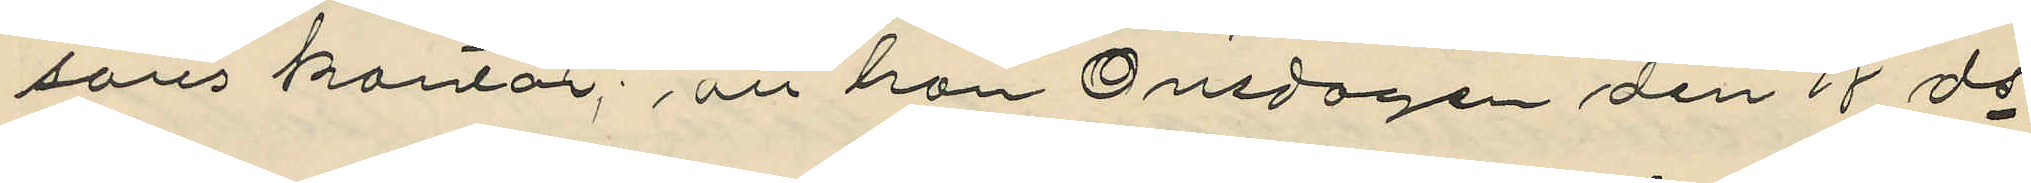sons kontor, att han Onsdagen den 18 ds
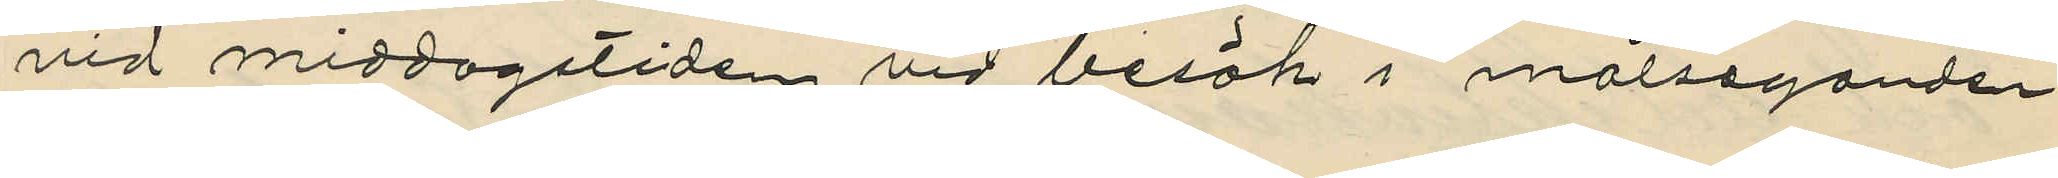vid middagstiden vid besök i målseganden
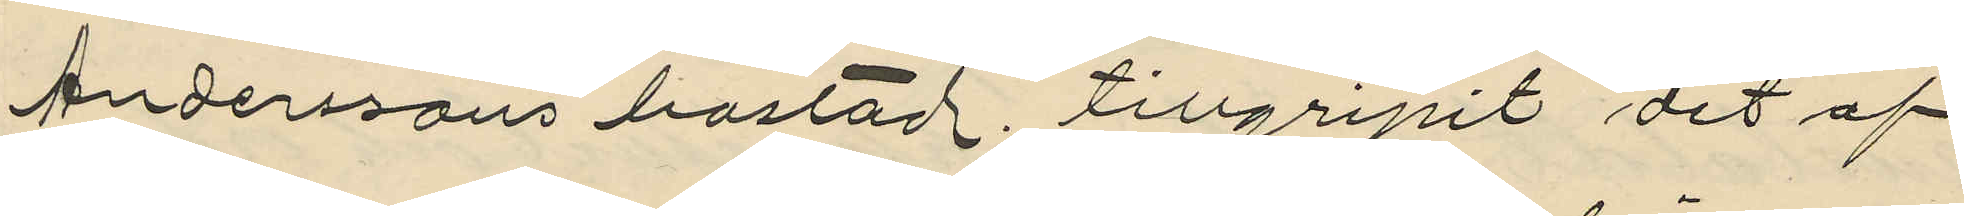Anderssons bostad tillgripit det af
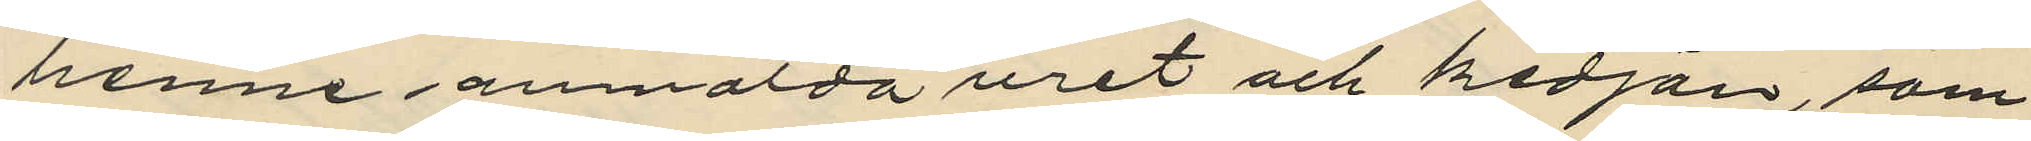henne anmälda uret och kedjan, som
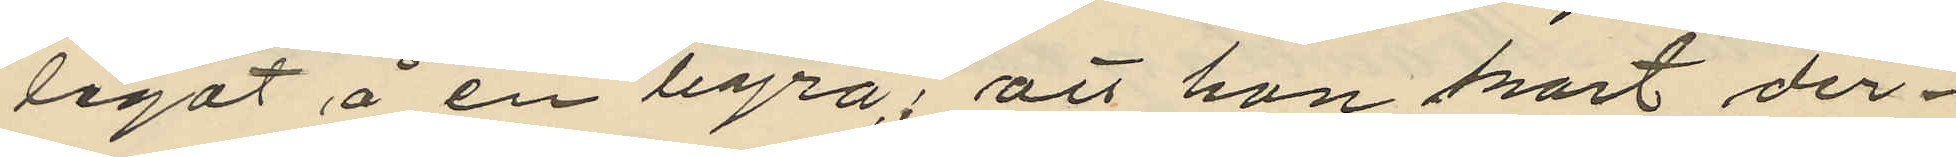legat å en byrå, att han snart der¬
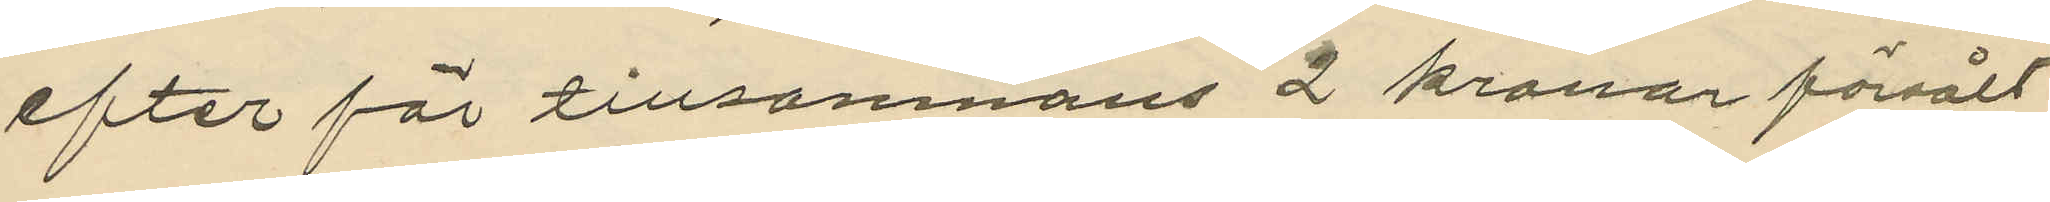efter för tillsamnans 2 kronor försålt
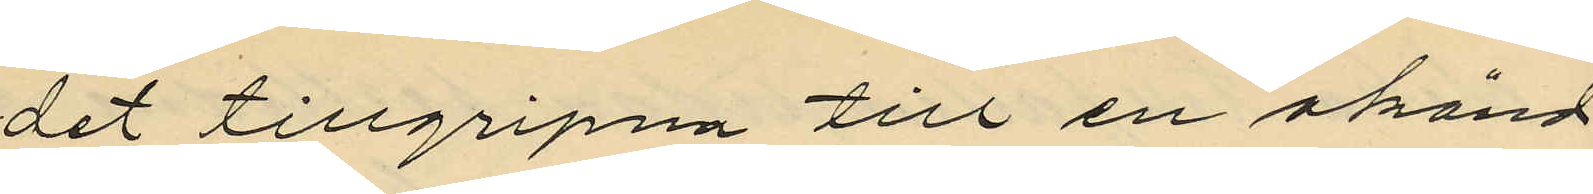det tillgripna till en okänd
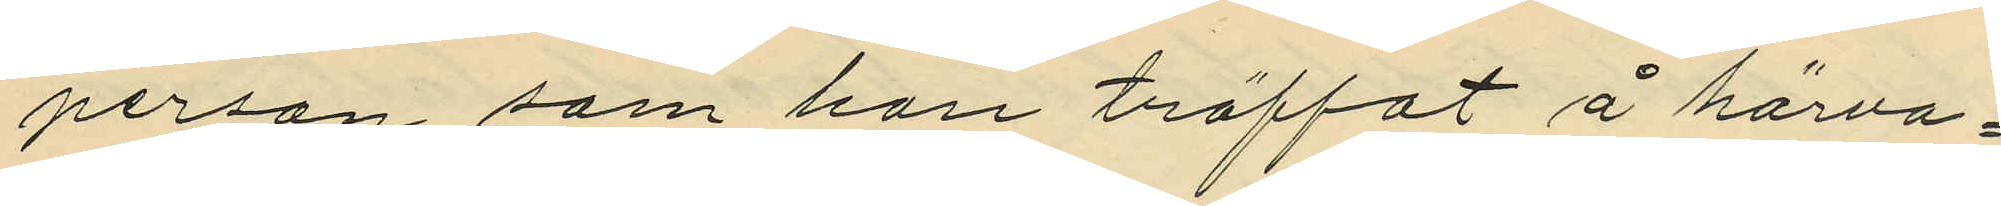person som han träffat å härva¬
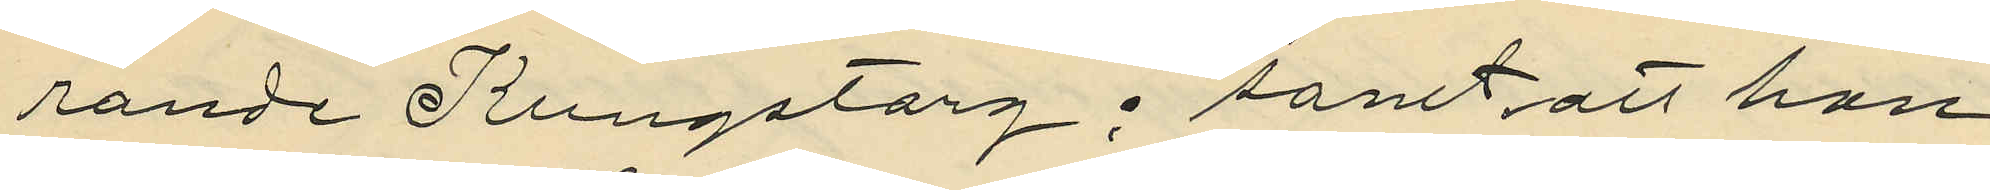rande Kungstorg; samt att han 
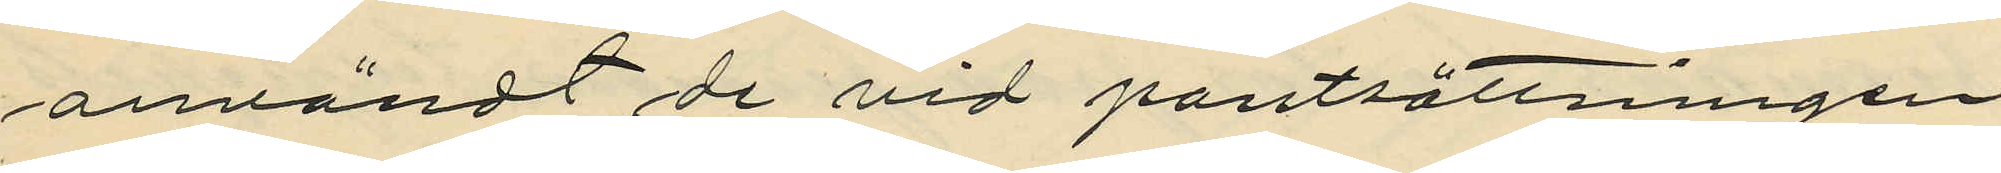användt de vid pantsättningen
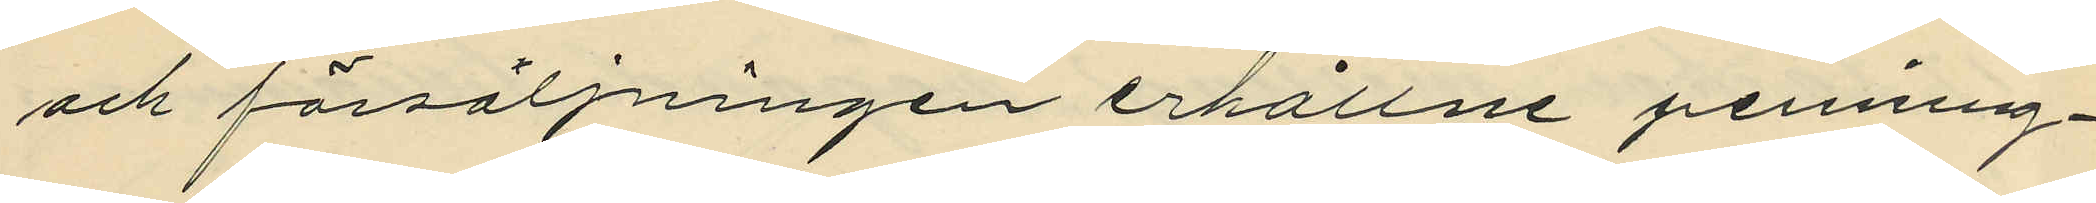och försäljningen erhållne penning¬
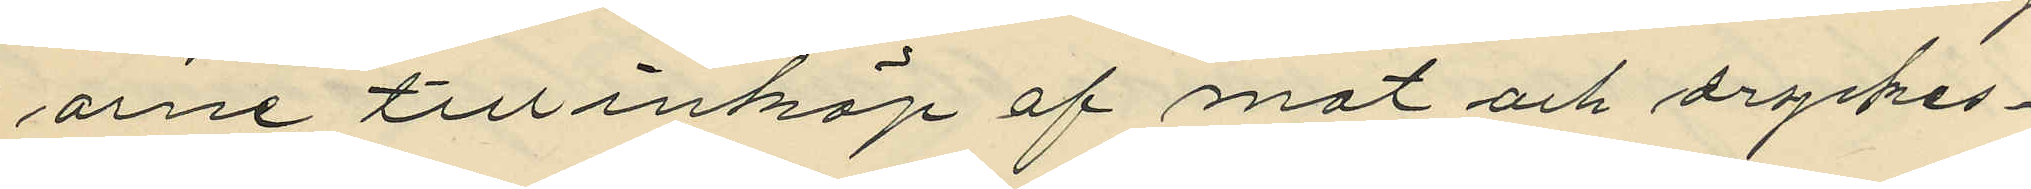arne till inköp af mat och dryckes¬
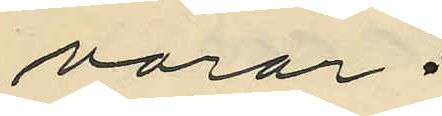varor.
